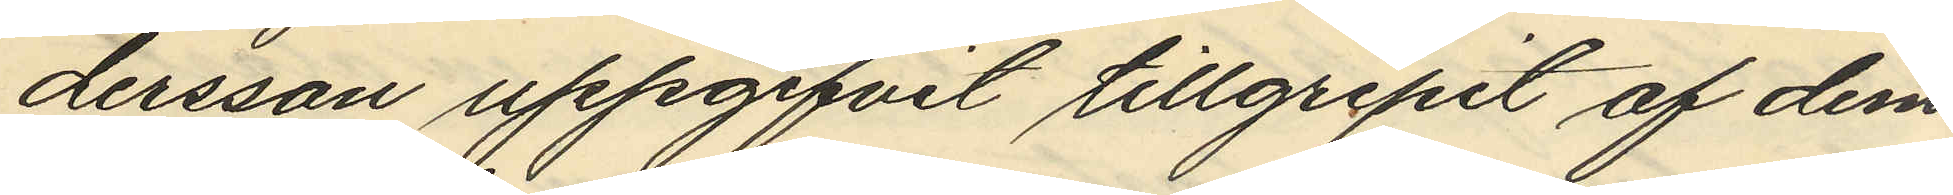dersson uppgifvit tillgripit af dem
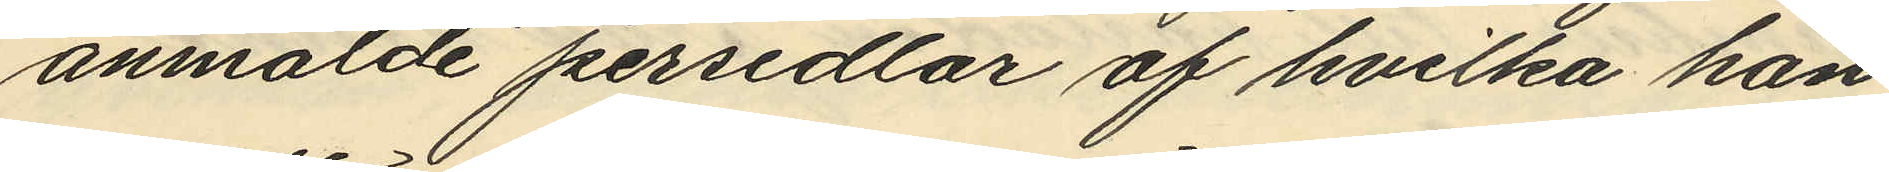anmälde persedlar af hvilka han
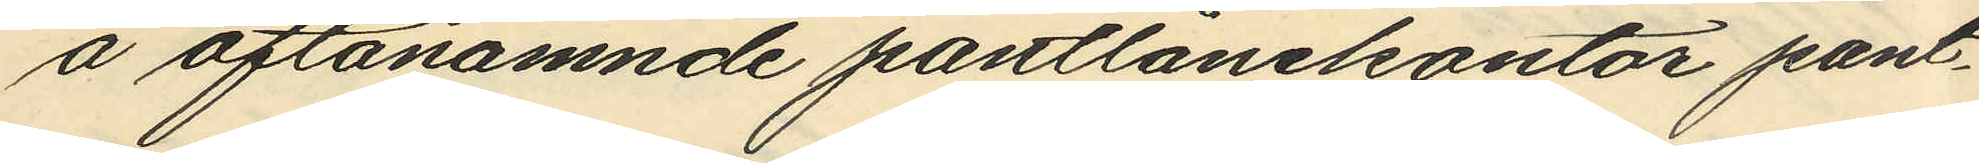å oftanämnde pantlånekontor pant¬
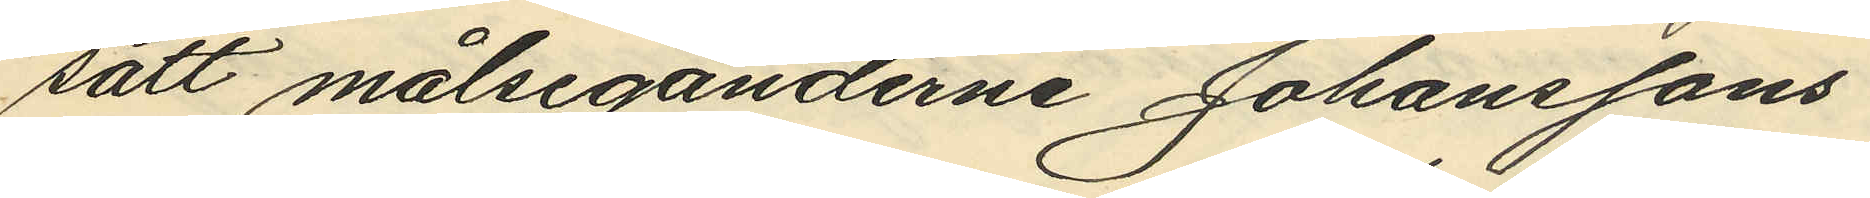satt målseganderne Johanssons
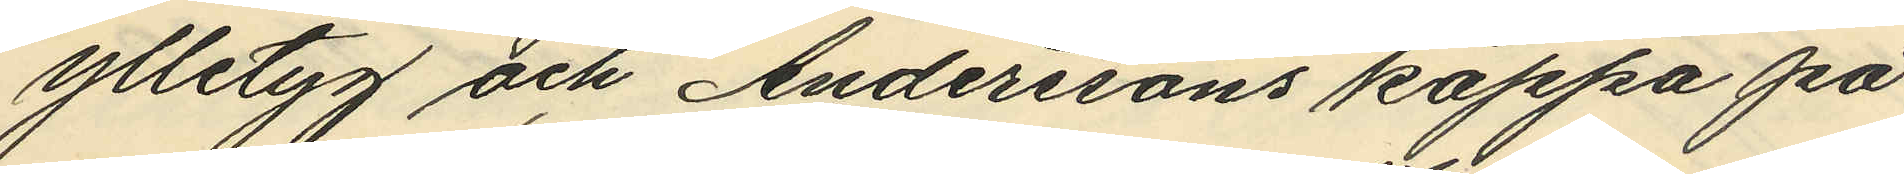ylletyg och Anderssons kappa på
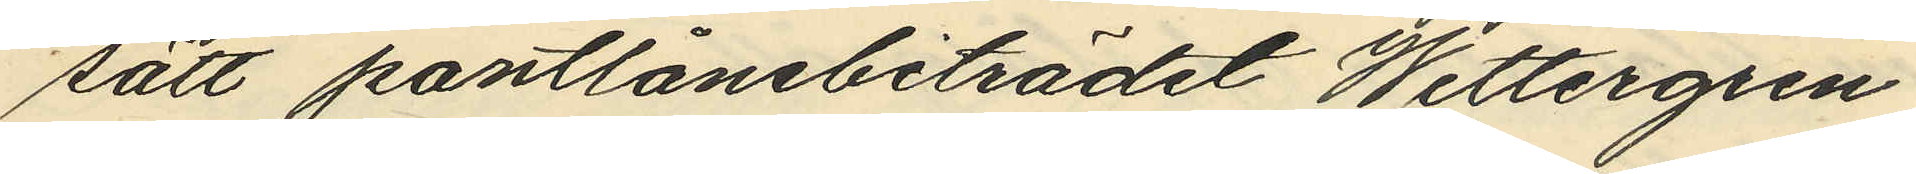sätt pantlånebiträdet Wettergren
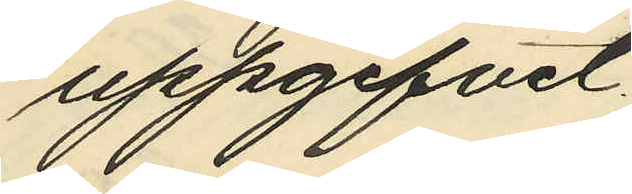uppgifvit.
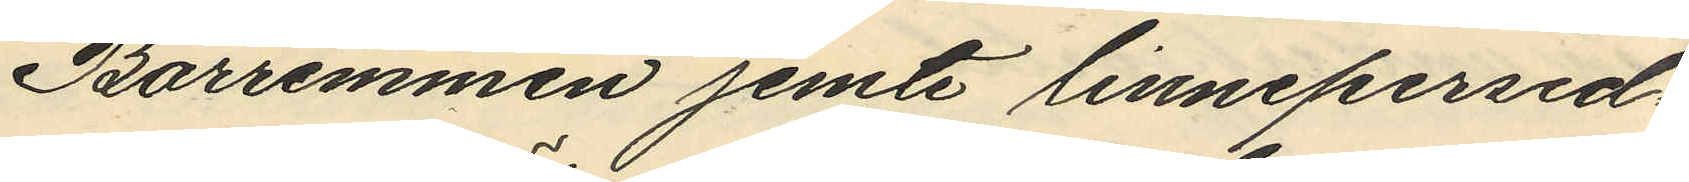Bärremmen jemte linnepersed¬
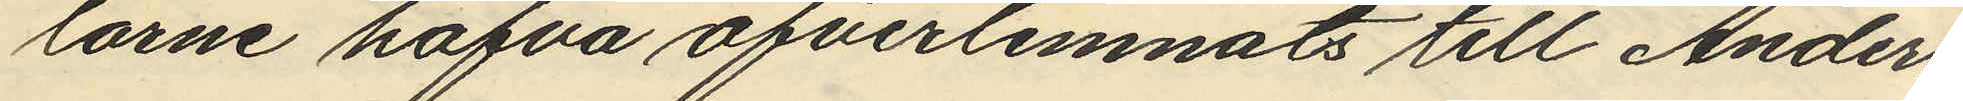larne hafva öfverlemnats till Anders¬
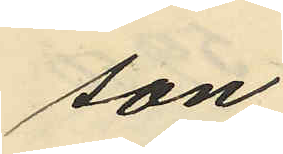son.
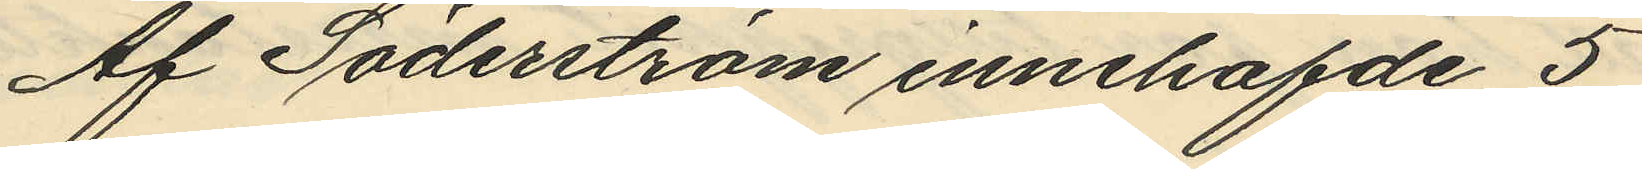Af Söderström innehafde 5
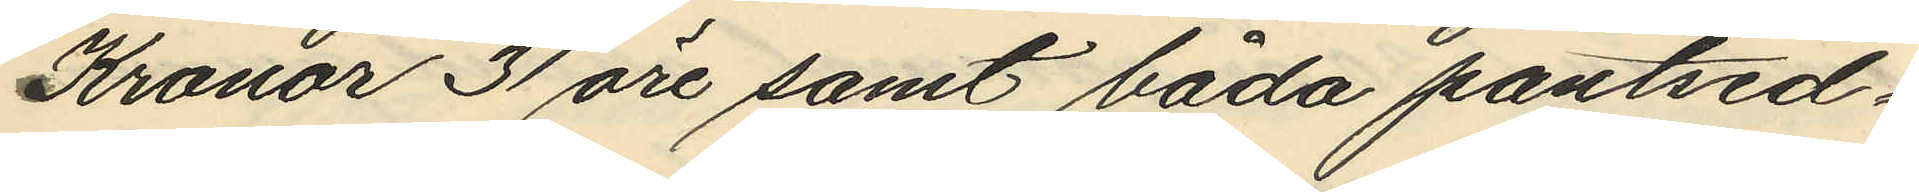Kronor 31 öre samt båda pantsed¬
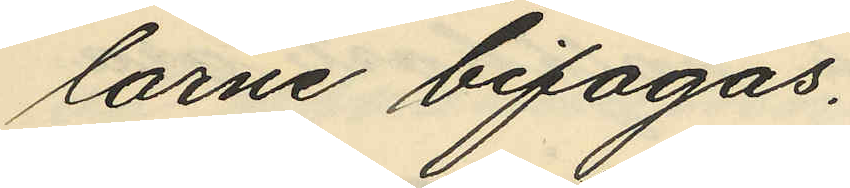larne bifogas.
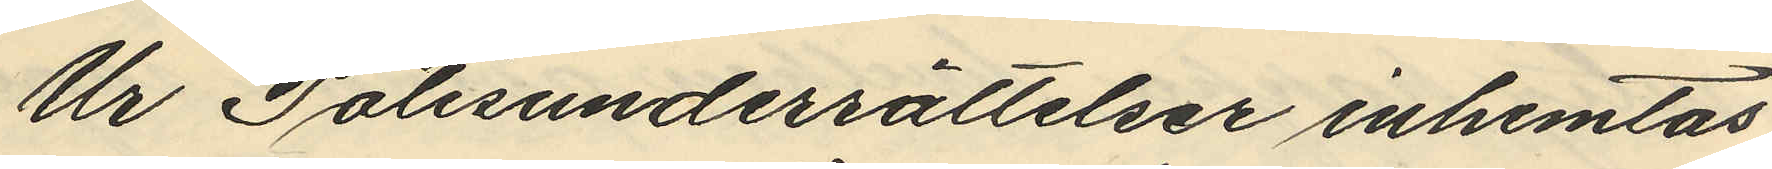Ur Polisunderrättelser inhemtas
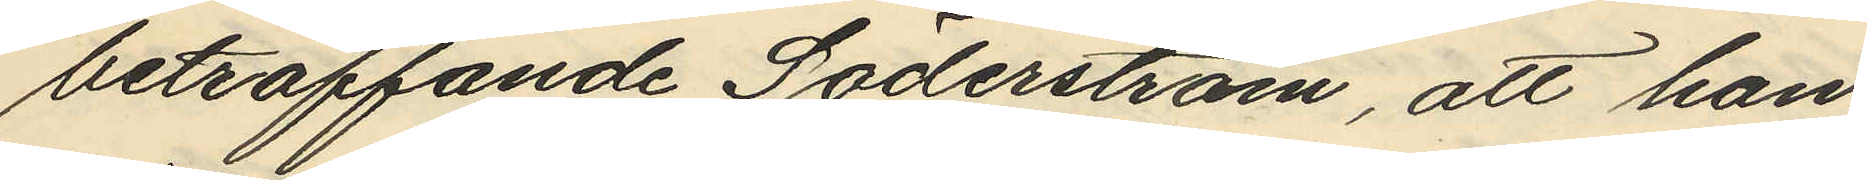beträffande Söderström, att han
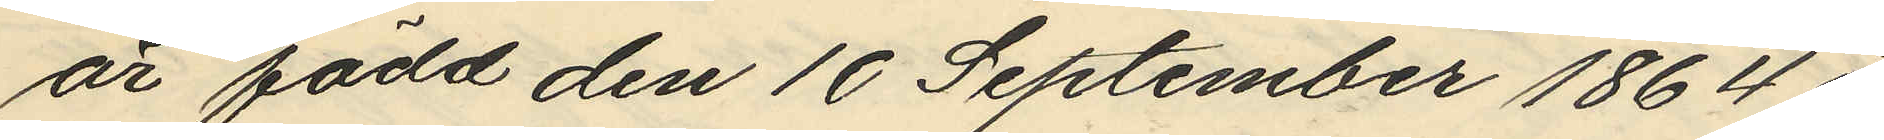är född den 10 September 1864 i
